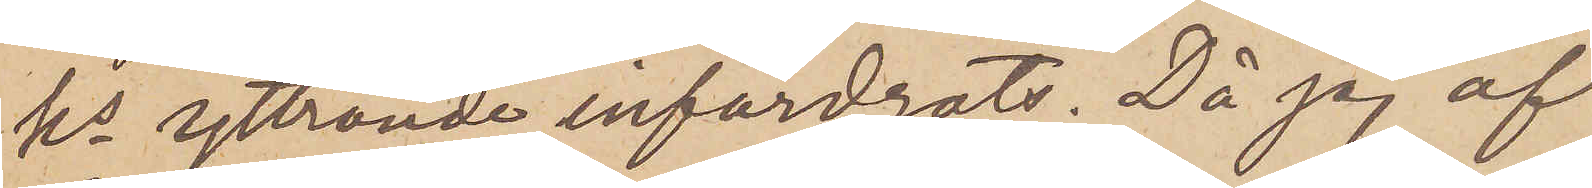ks yttrande infordrats. Då jag af
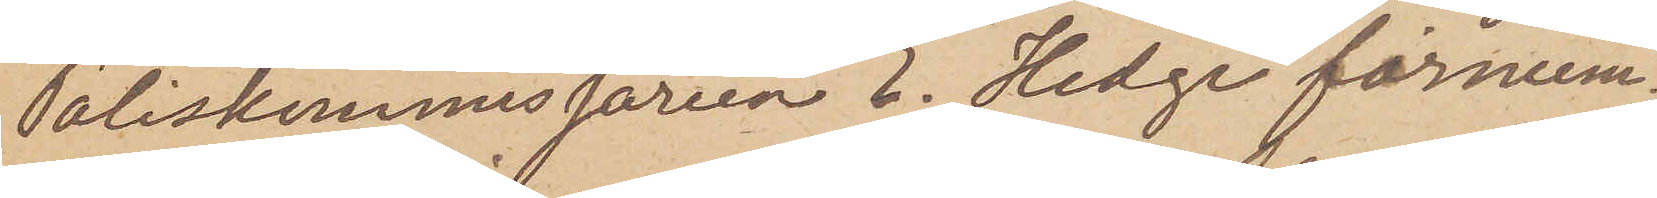Poliskommissarien E. Hedge förnum¬
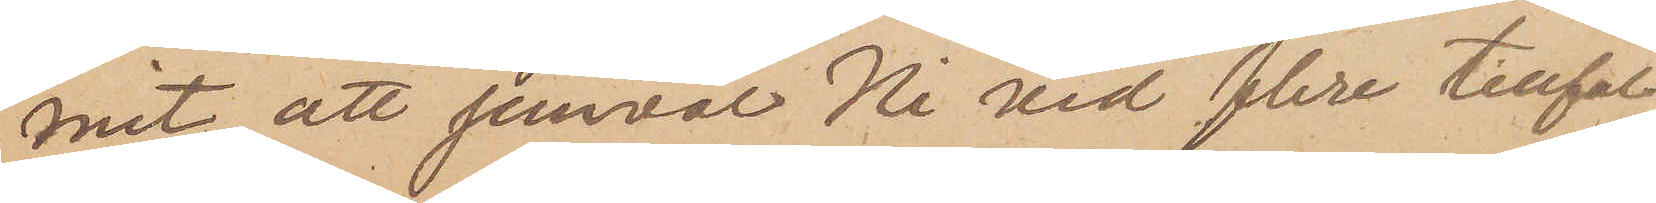mit, att jemväl Ni vid flere tillfäl¬
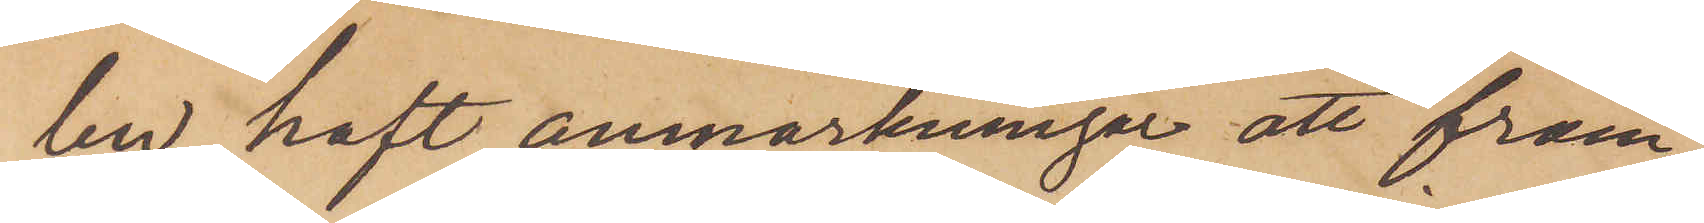len, haft anmärkningar att fram¬
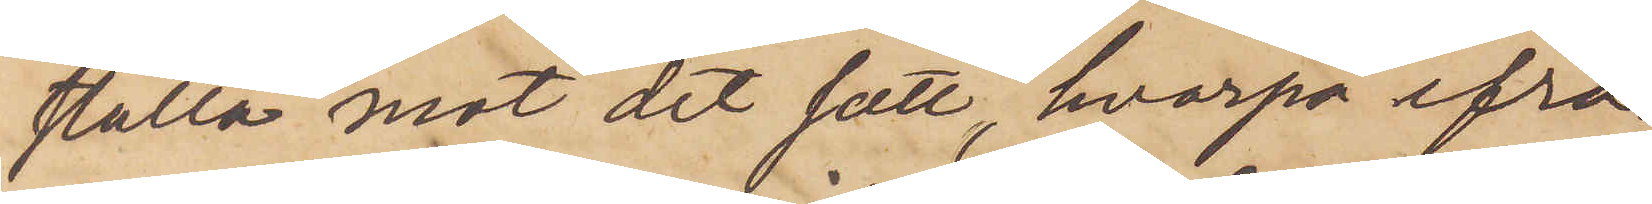ställa mot det sätt, hvarpå ifrå¬
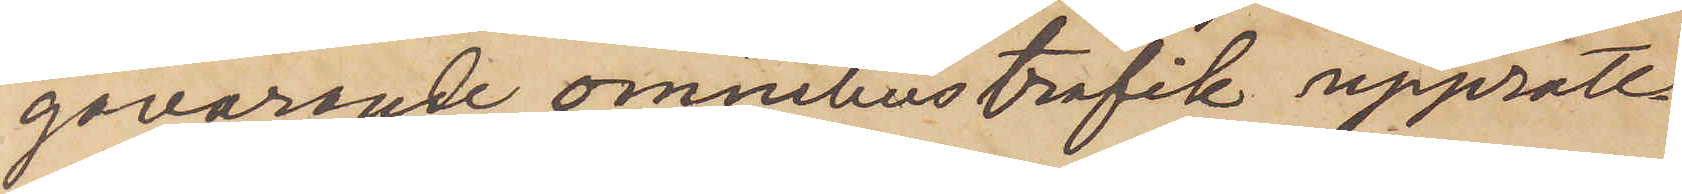gavarande omnibustrafik upprätt¬
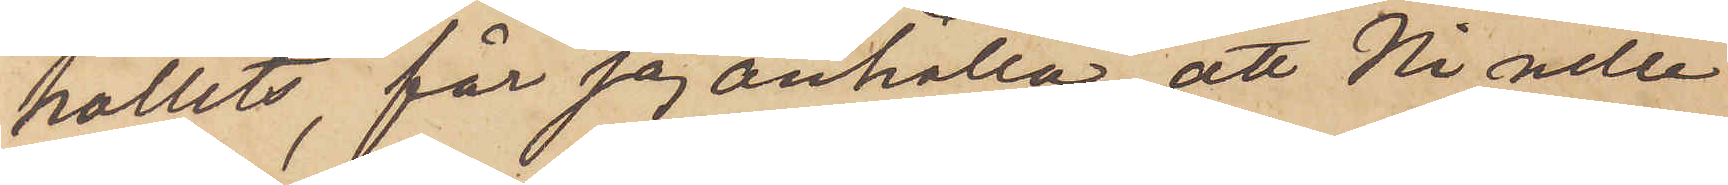hållits, får jag anhålla, att Ni ville
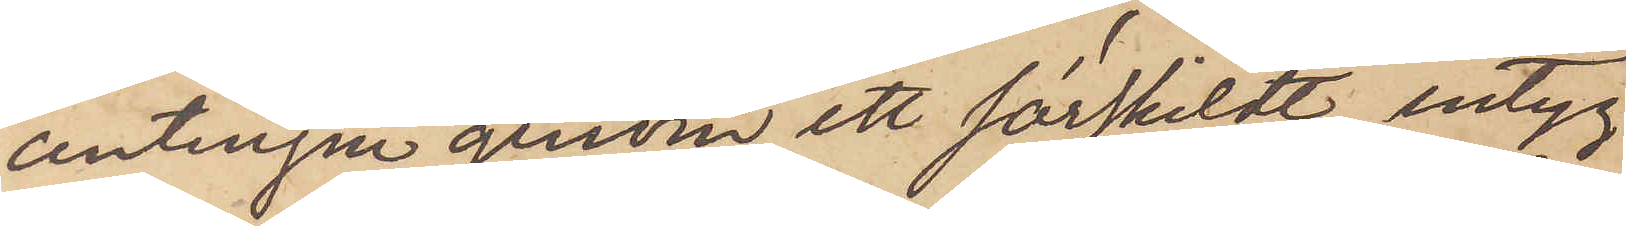antingen genom ett särskildt intyg
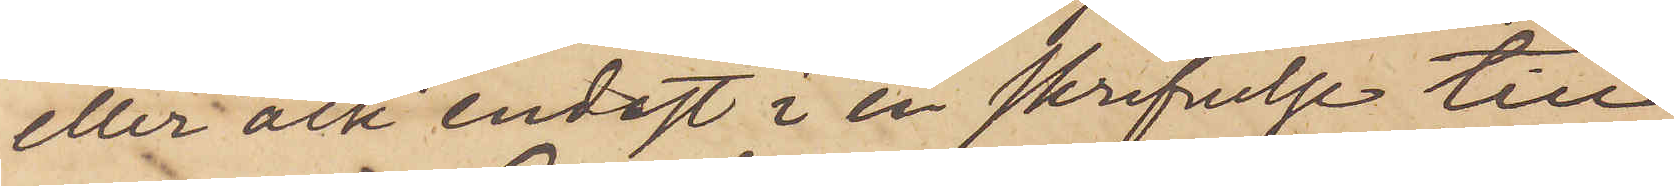eller ock endast i en skrifvelse till
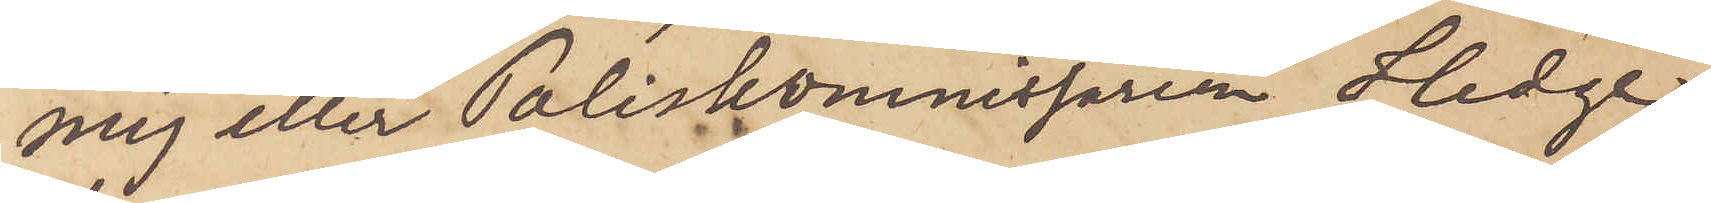mig eller Poliskommissarien Hedge
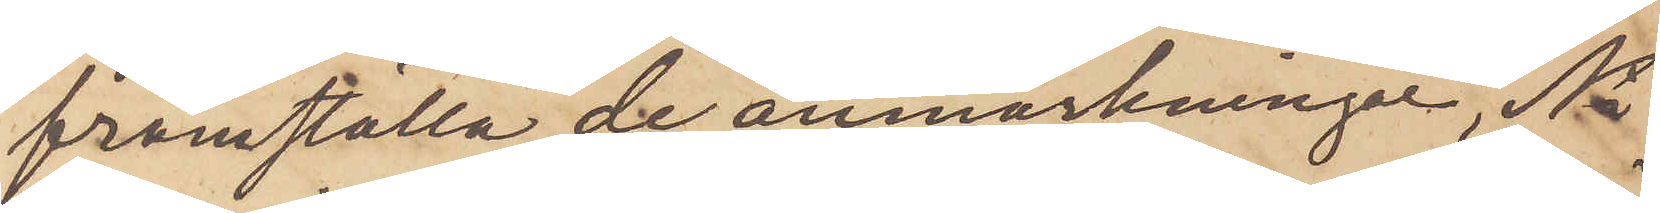framställa de anmärkningar, Ni
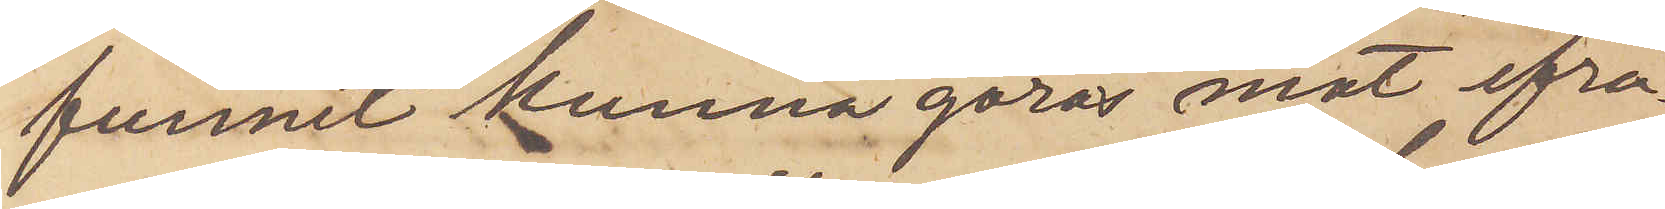funnit kunna göras mot ifrå¬
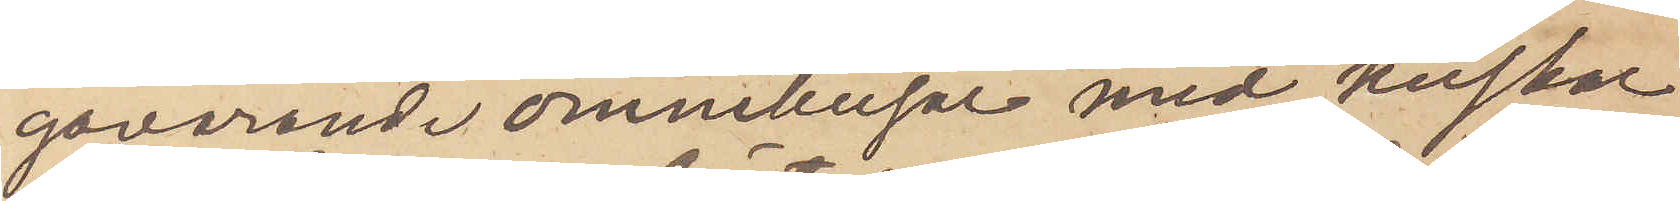gavarande omnibusar med kuskar
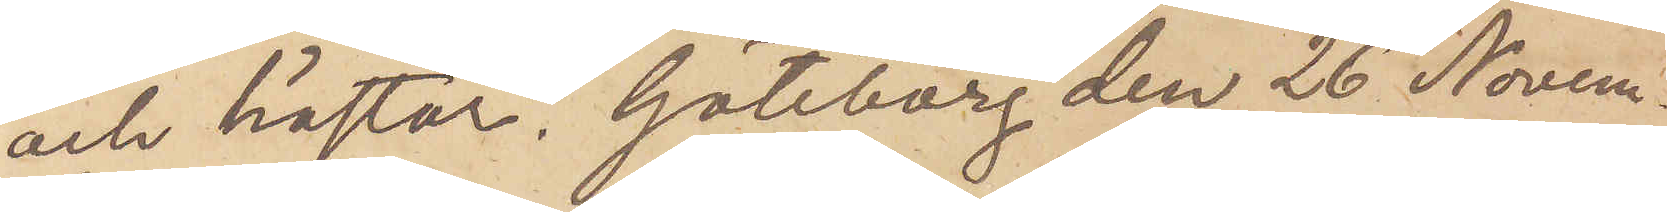och hästar. Göteborg den 26 Novem¬
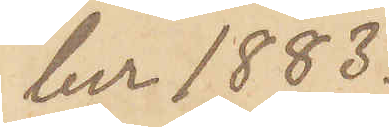ber 1883.
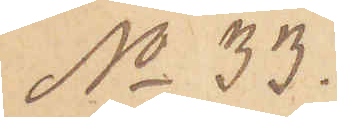No 33.
